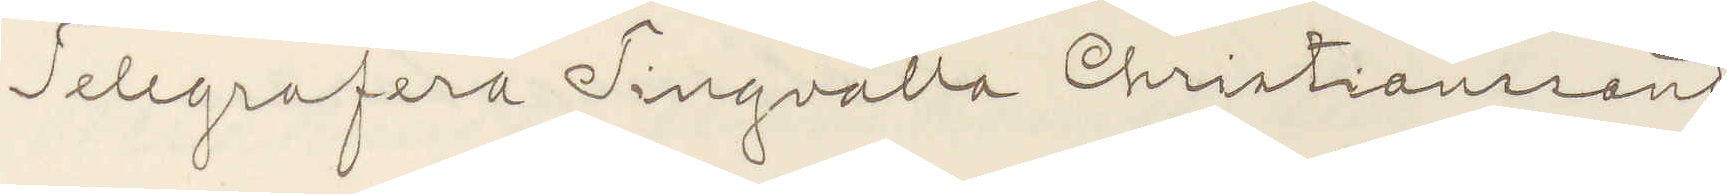Telegrafera Tingvalla Christiansand
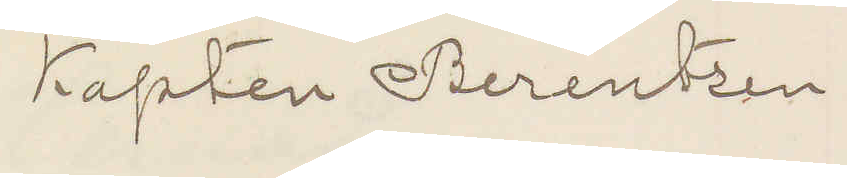Kapten Berentzen
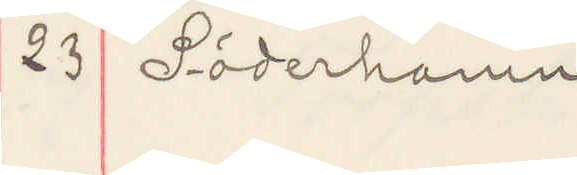23 Söderhamn
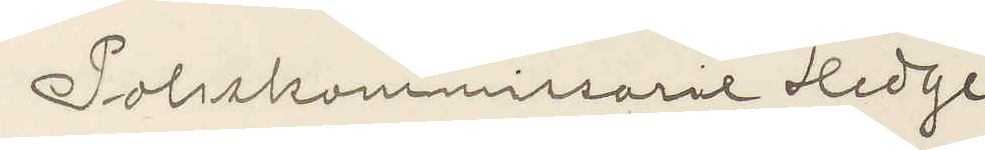Poliskommissarie Hedge
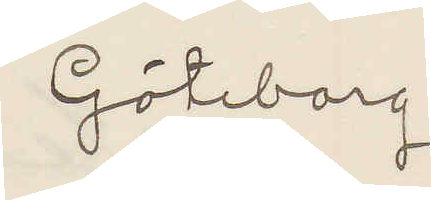Göteborg
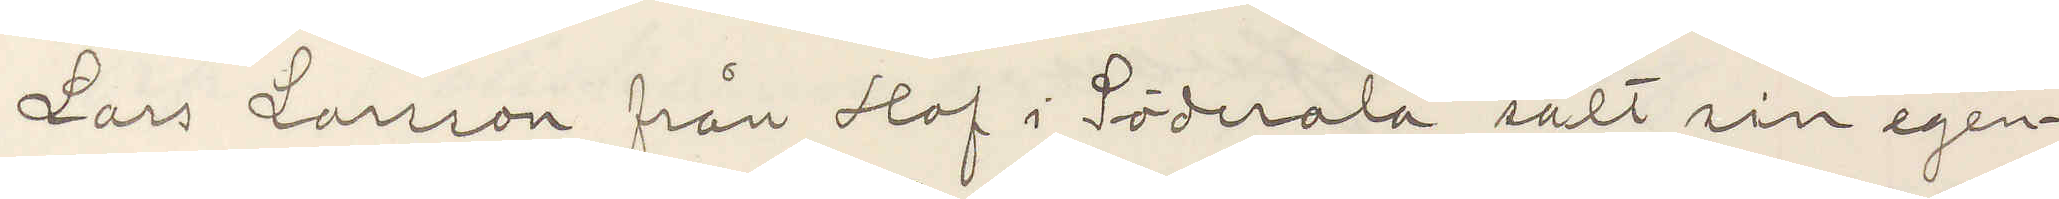Lars Larsson från Hof i Söderala sålt sin egen¬
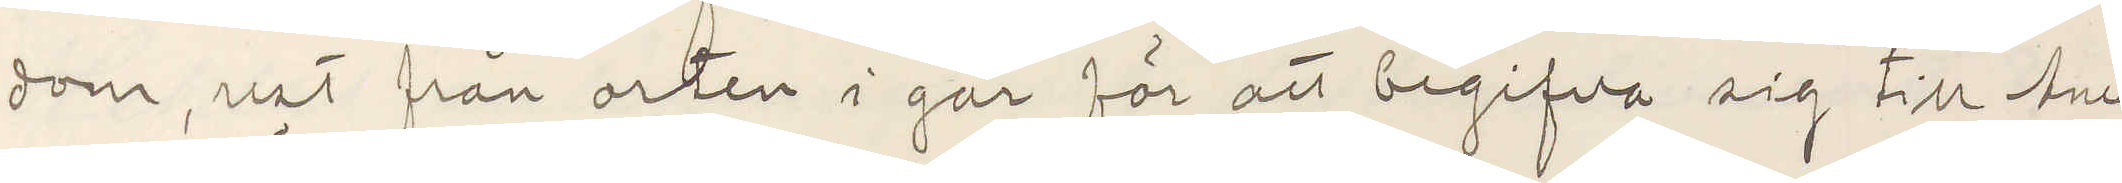dom, rest från orten i går för att begifva sig till Ame¬
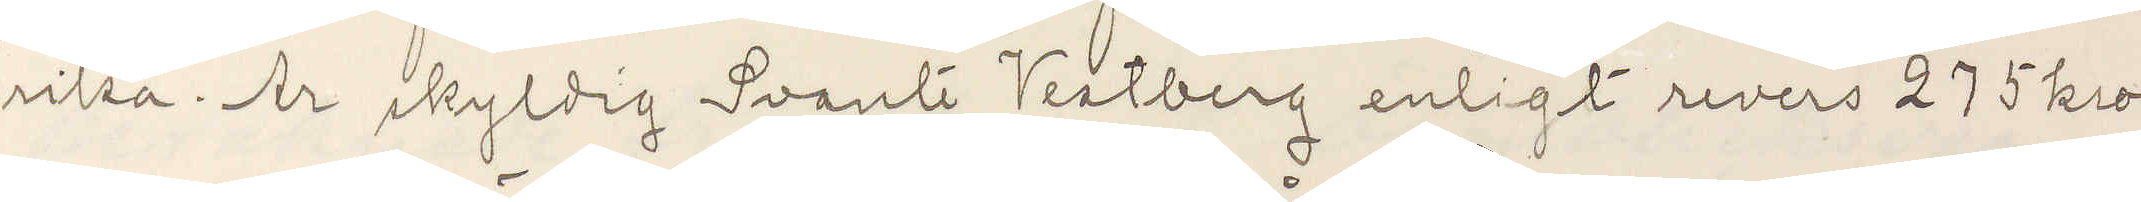rika. Är skyldig Svante Vestborg enligt revers 275 kro¬
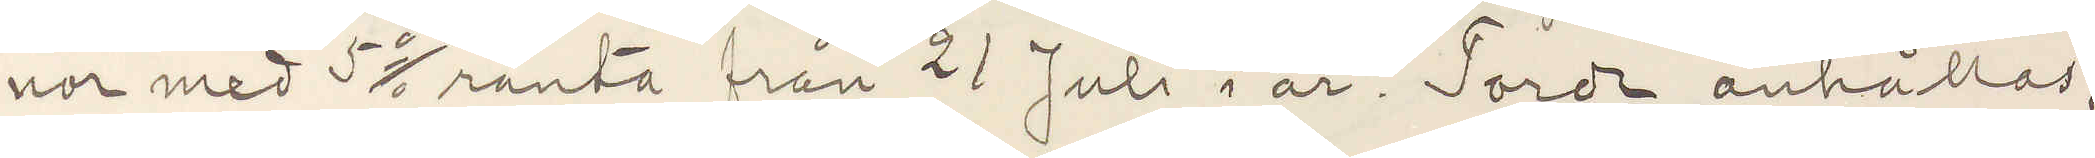nor med 5 % ränta från 21 Juli i år. Torde anhållas;
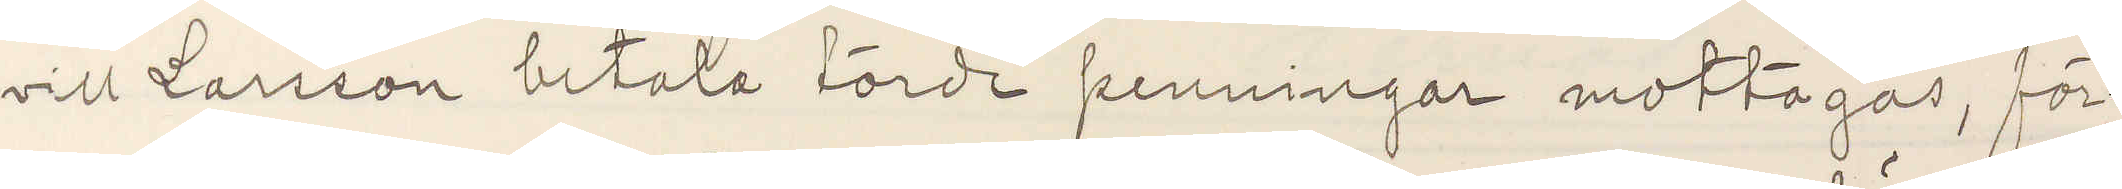vill Larsson betala torde penningar mottagas, för¬
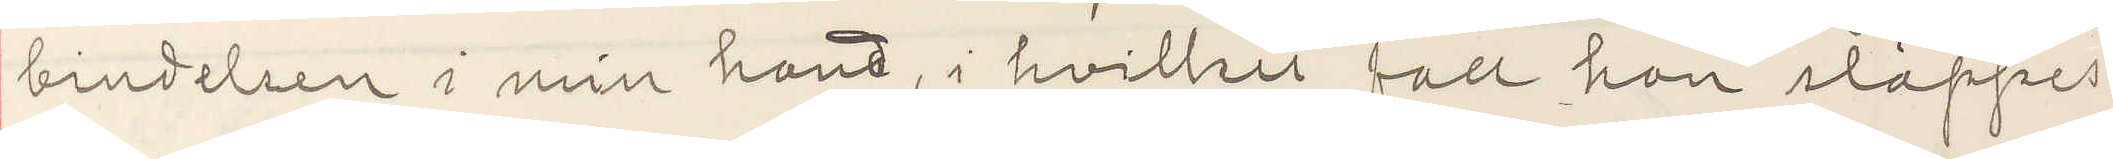bindelsen i min hand, i hvilket fall han släppes.
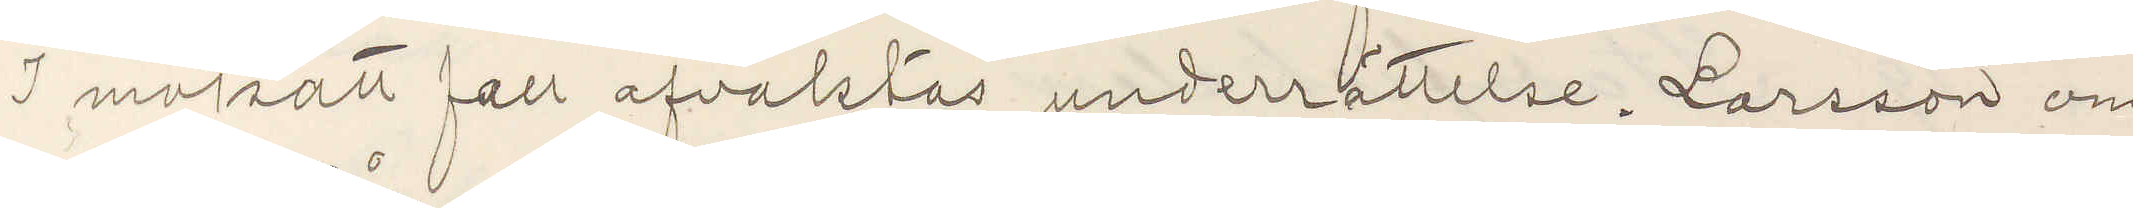I motsatt fall afvaktas underrättelse. Larsson om¬
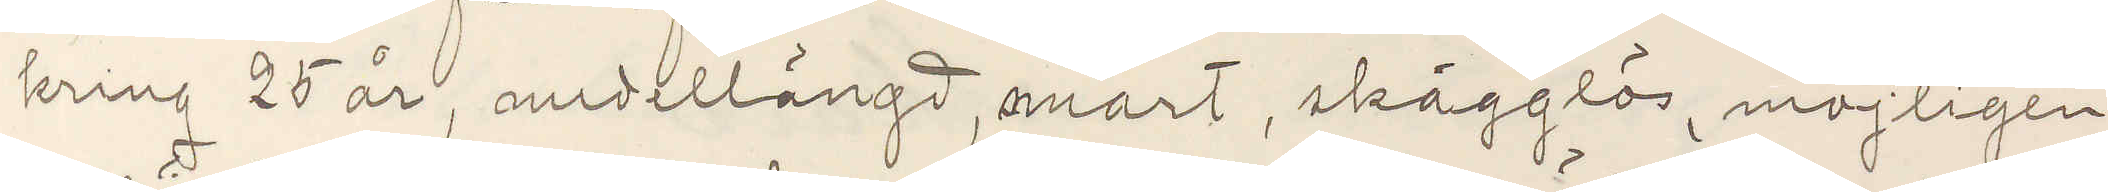kring 25 år, medellängd, smärt, skägglös, möjligen
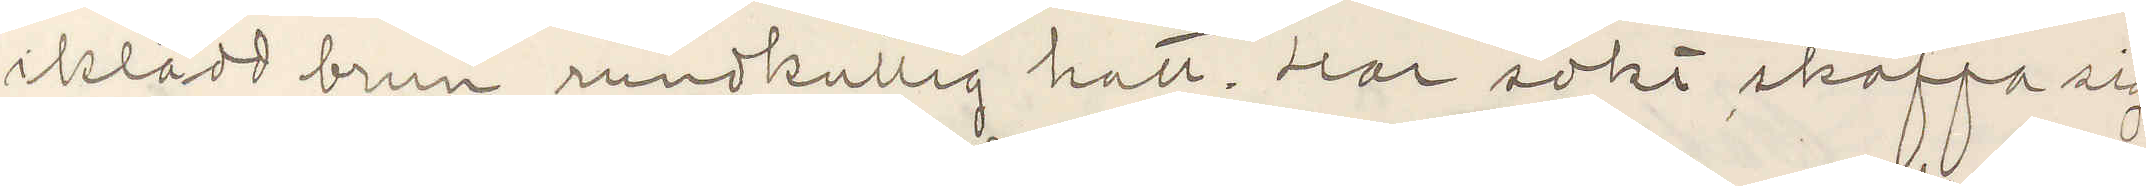iklädd brun rundkullig hatt. Har sökt skaffa sig
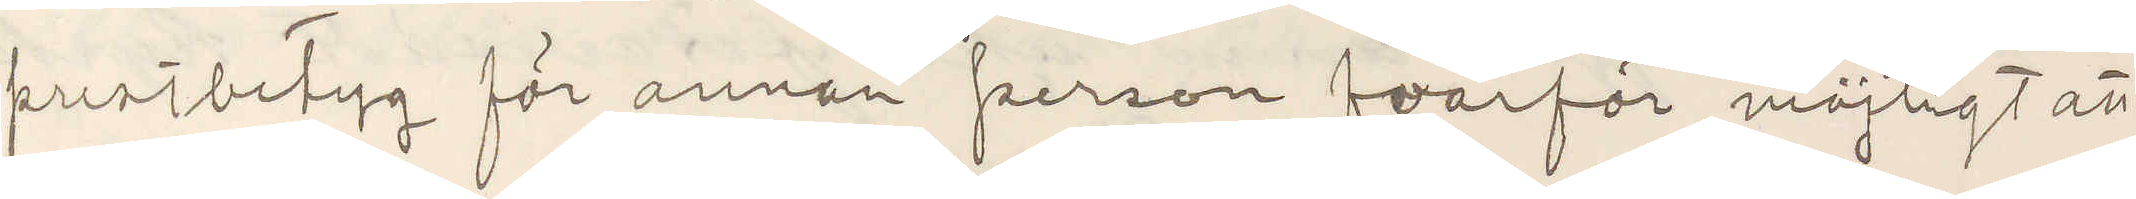prestbetyg för annan person hvarför möjligt att
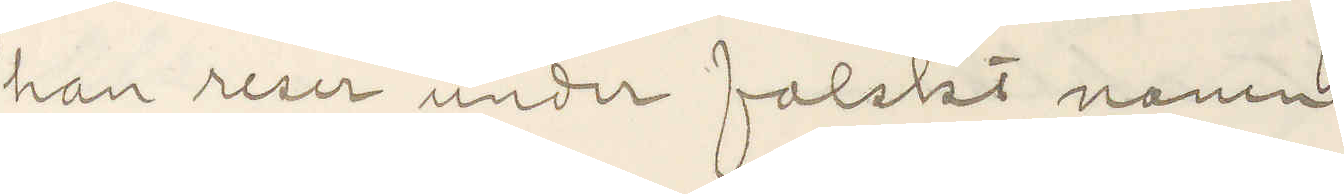han reser under falskt namn
